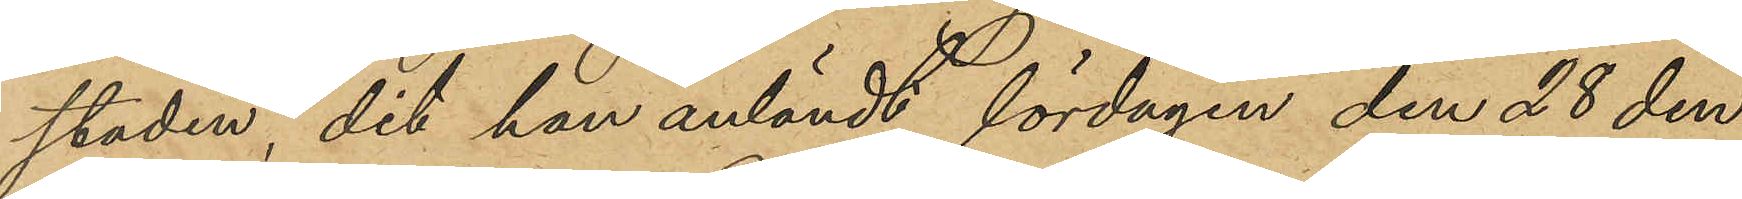staden, dit han anländt lördagen den 28 den¬
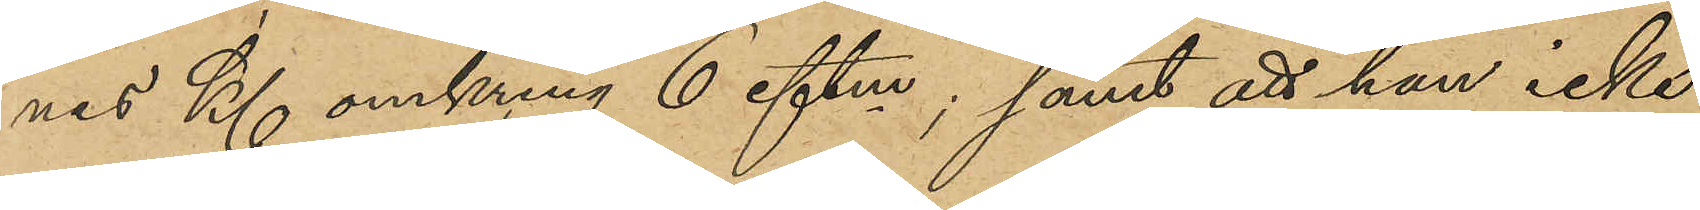nes Kl omkring 6 eftm; samt att han icke
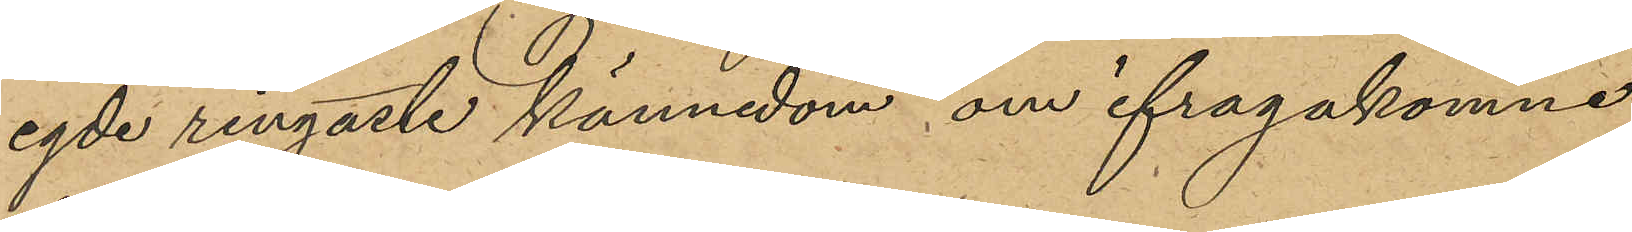egde ringaste kännedom om ifragakomne
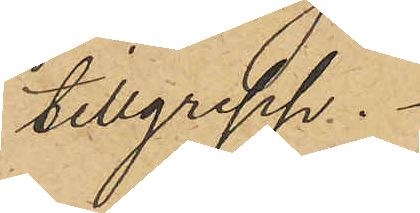tillgrepp.
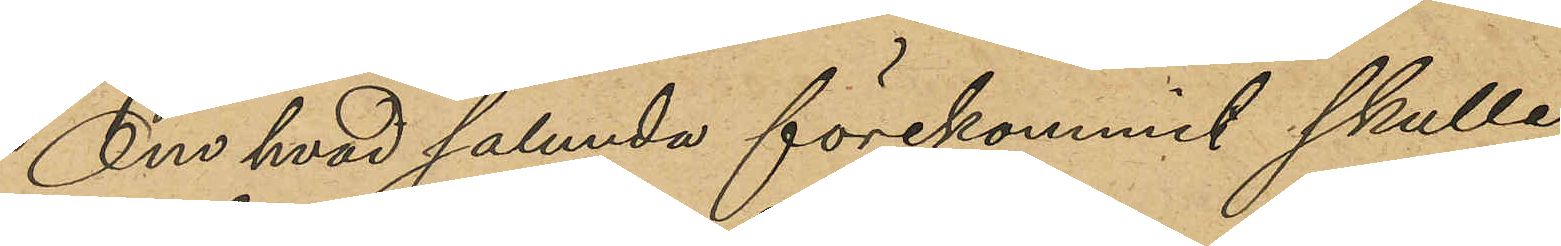Om hvad sålunda förekommit skulle
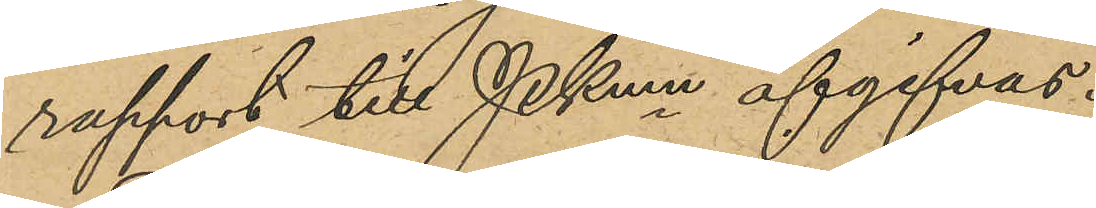rapport till Pkmn afgifvas.
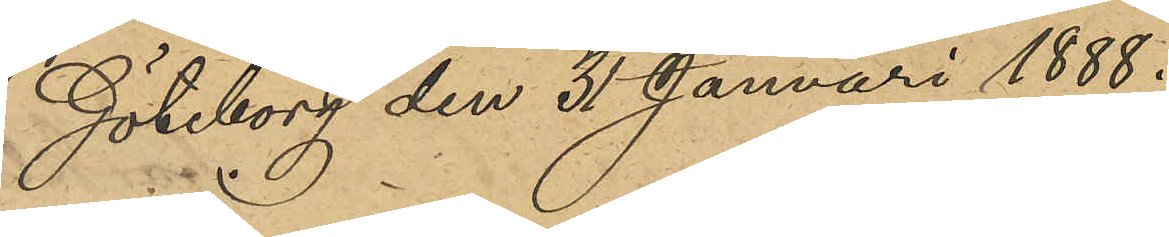Göteborg den 31 Januari 1888.
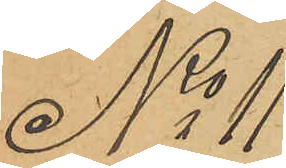No 11
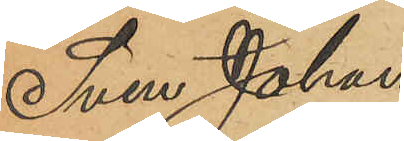Sven Johan 
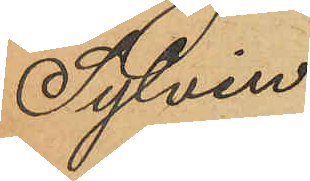Sylvin.
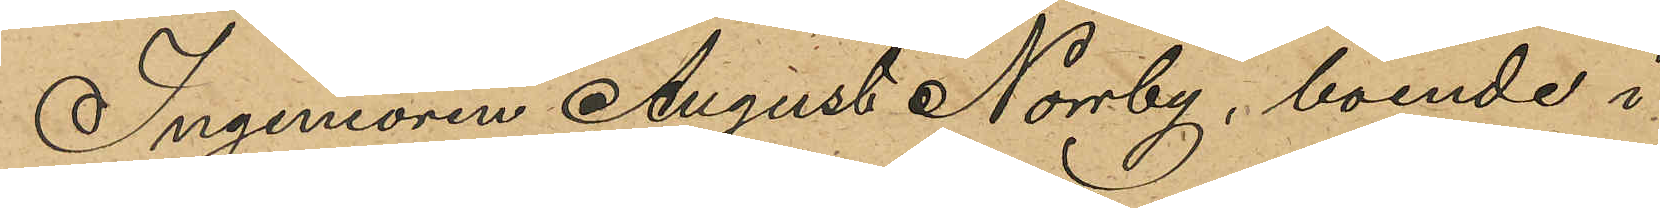Ingeniören August Norrby, boende i
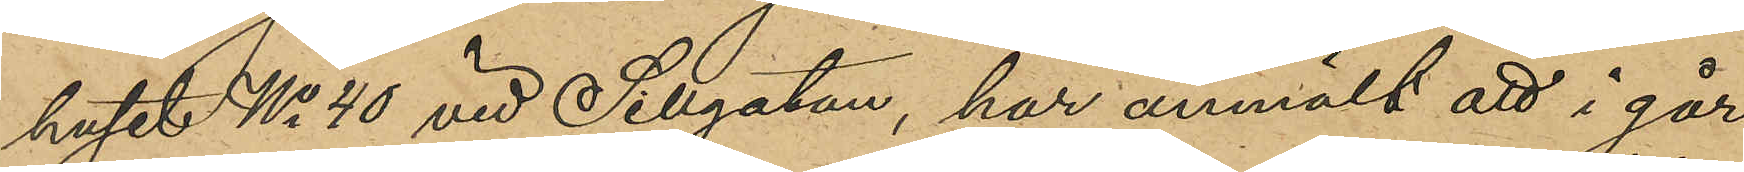huset No 40 vid Sillgatan, har anmält att i går
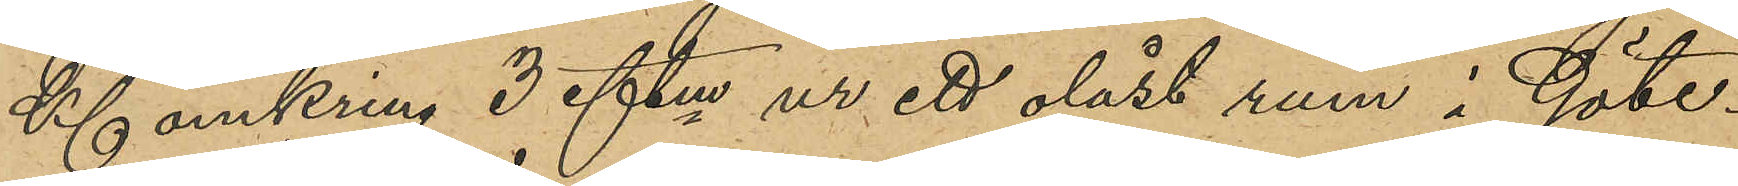Kl omkring 3 eftm ur ett olåst rum i Göte¬
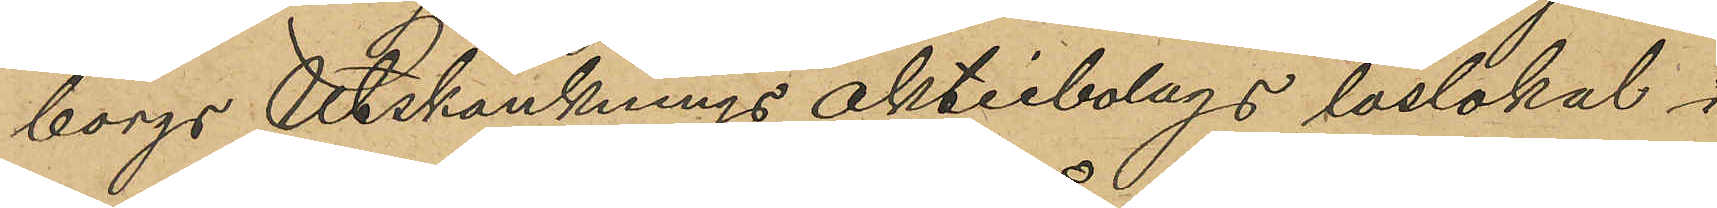borgs Utskänknings Aktiebolags läslokal i
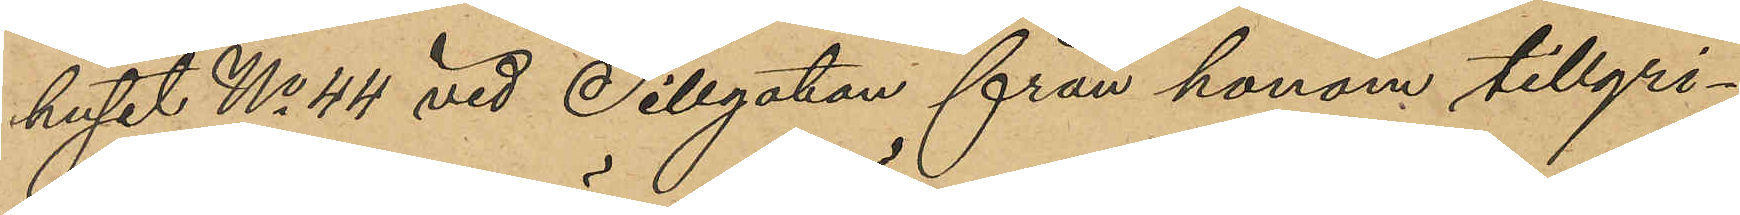huset No 44 vid Sillgatan från honom tillgri¬
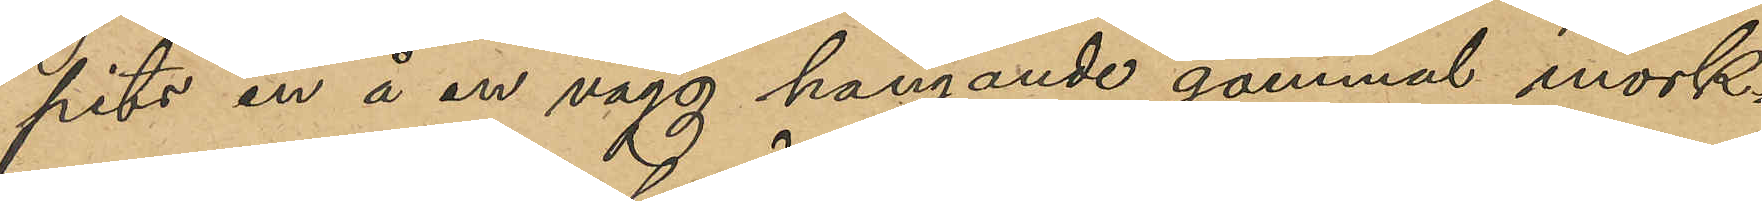pits en å en vägg hängande gammal mörk¬
